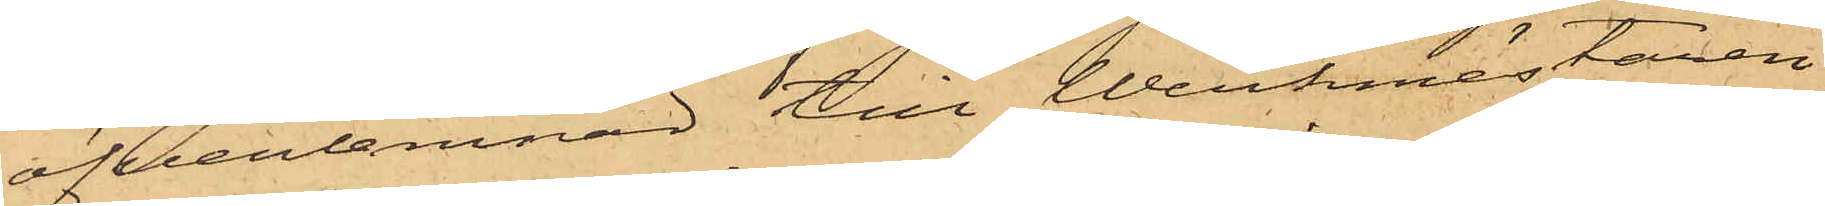öfverlemnad till Werkmästaren
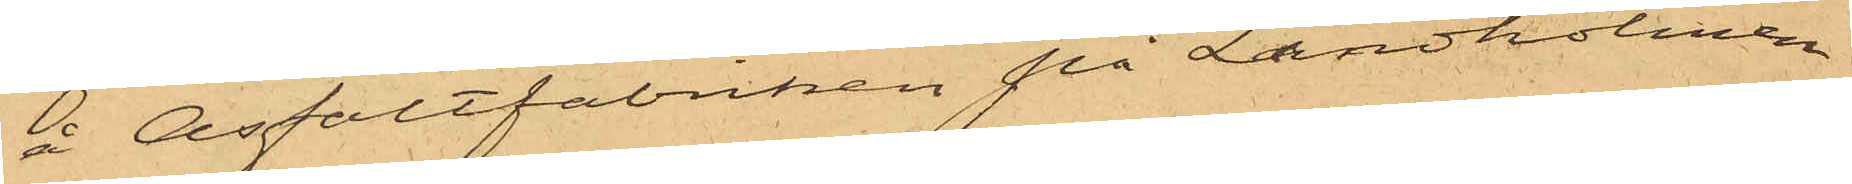å Asfaltfabriken på Lindholmen
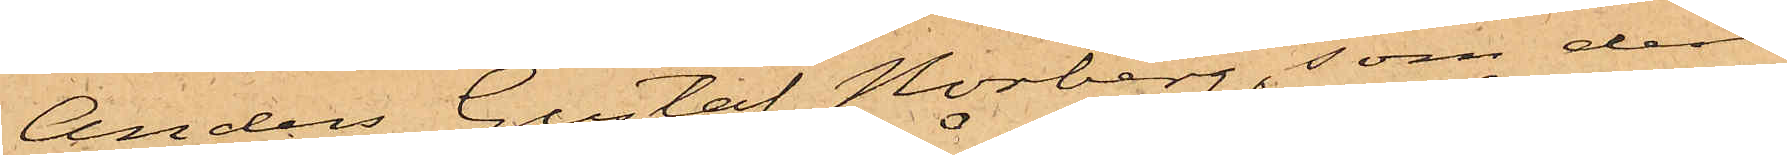Anders Gustaf Norberg, som den
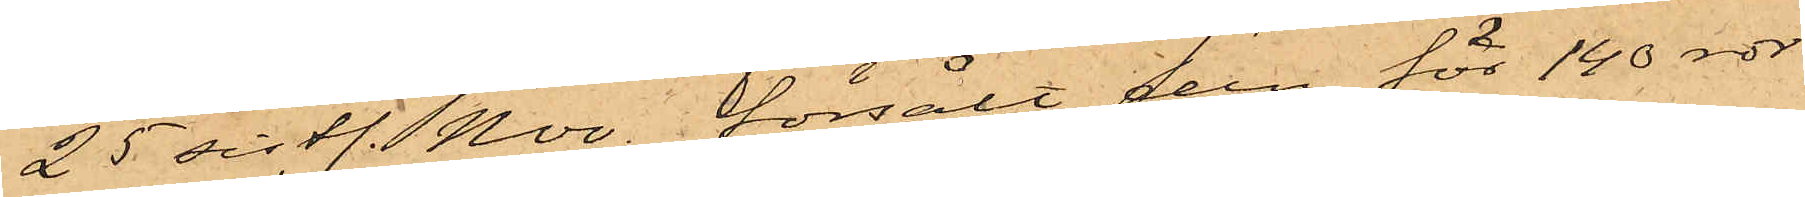25 sistl. Nov. försålt den för 140 rdr
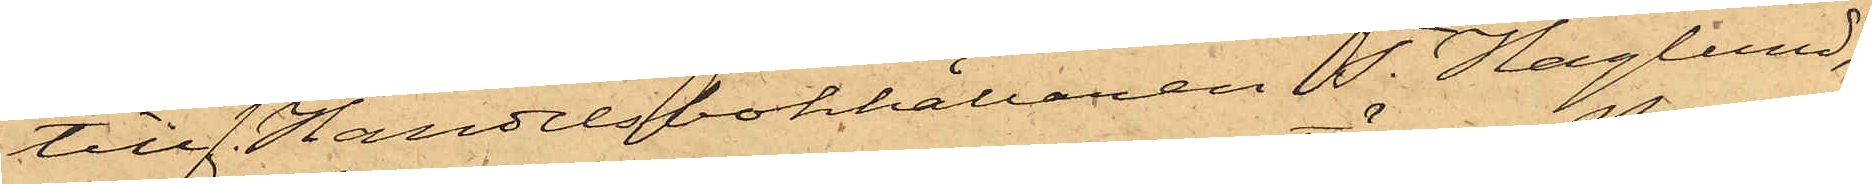till Handelsbokhållaren T. Haglund;
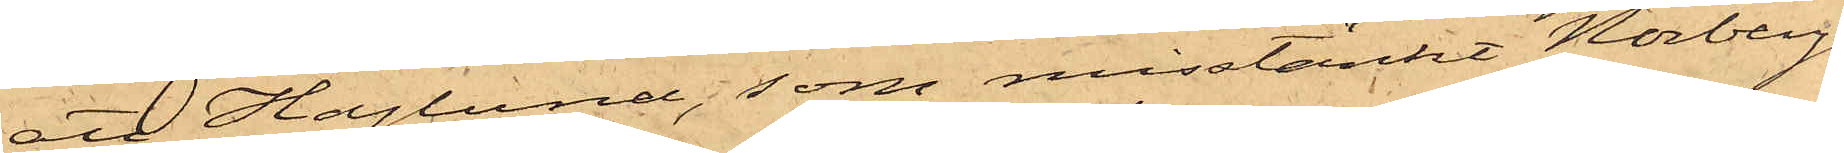att Haglund, som misstänkt Norbergs
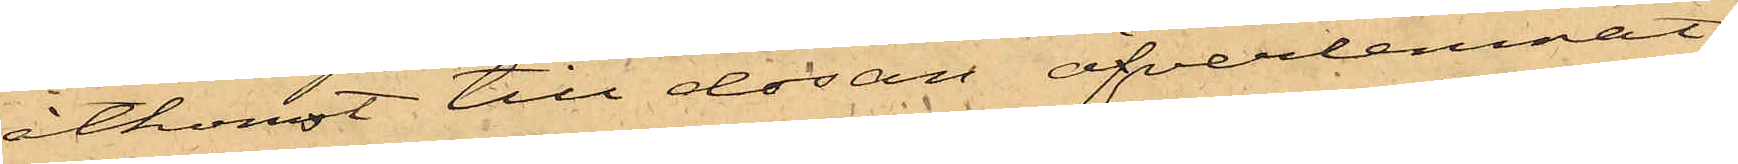åtkomst till dosan öfverlemnat
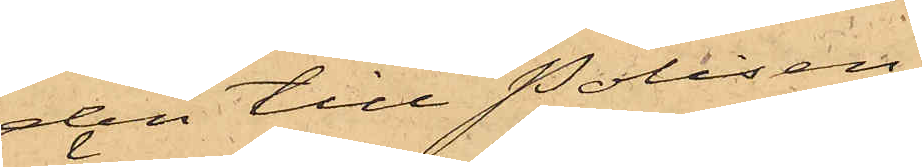den till Polisen;
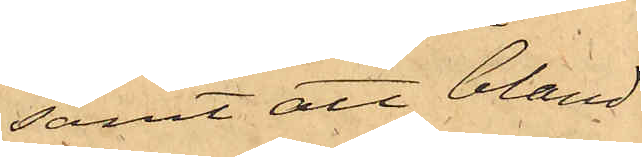samt att bland
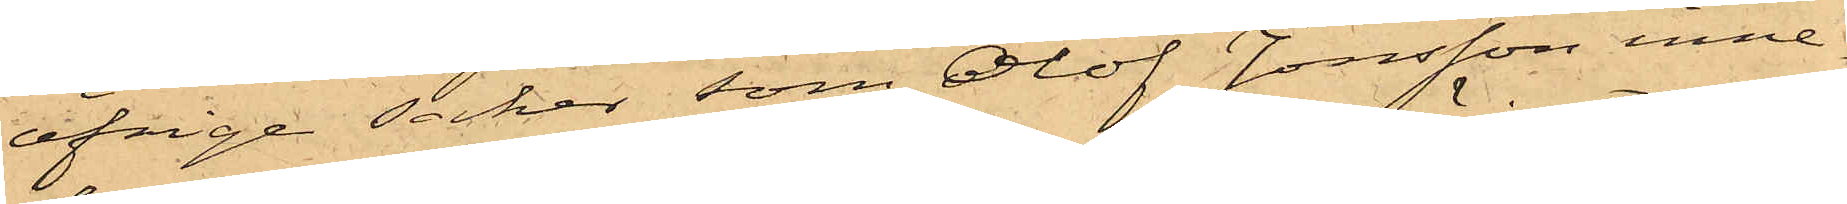öfrige saker, som Olof Jonsson inne¬
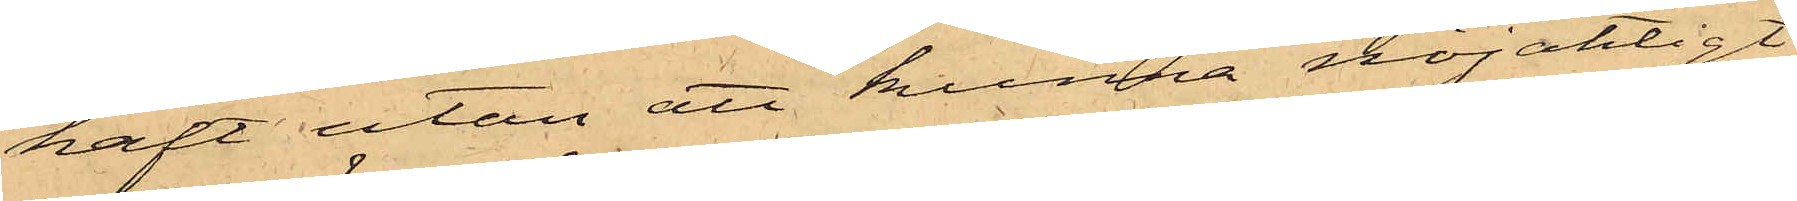haft utan att kunna nöjakligt
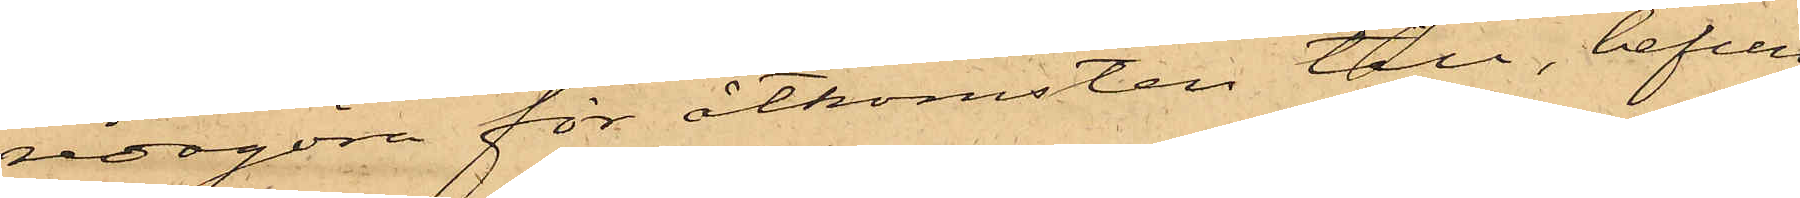redogöra för åtkomsten till, befun¬
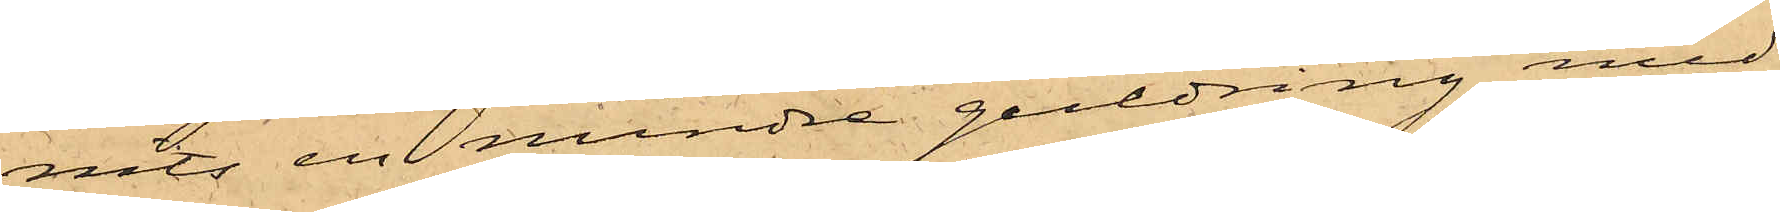nits en mindre guldring med
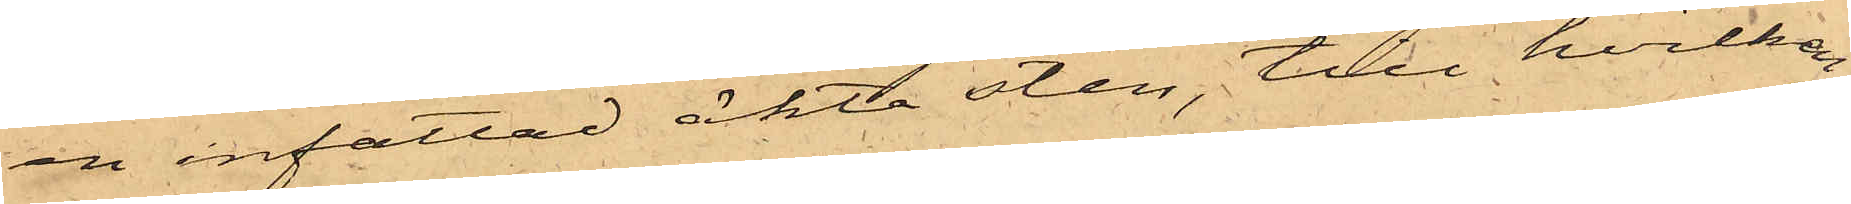en infattad äkta sten, till hvilken
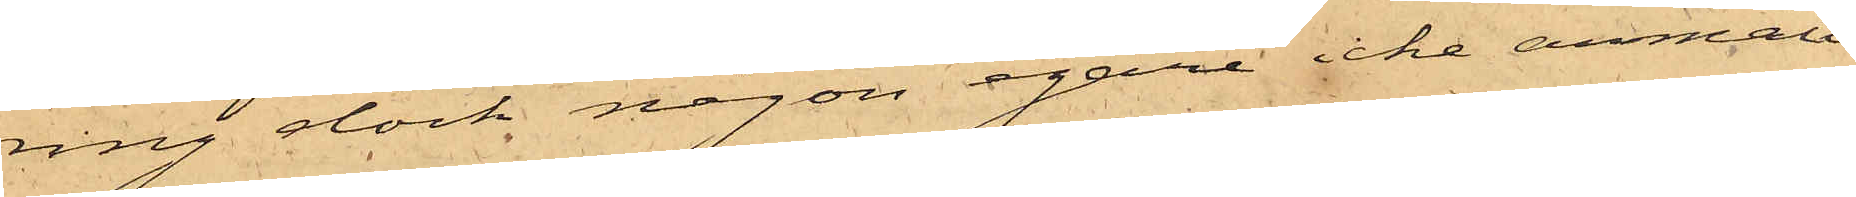ring dock någon egare icke anmält
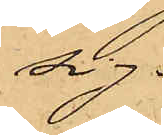sig.
